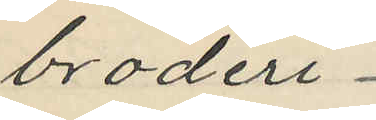broderi
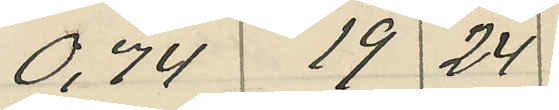0,74 19 24
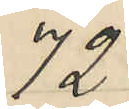72
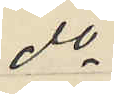do
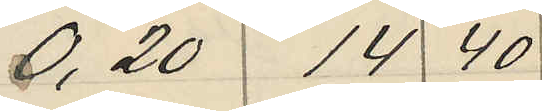0,20 14 40
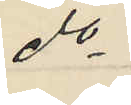do
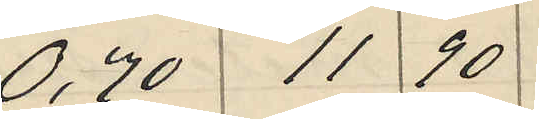0,70 11 90
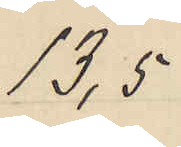13,5
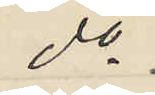do
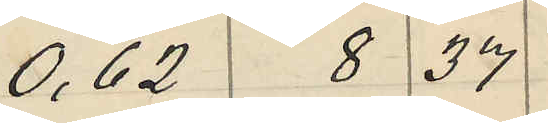0,62 8 37
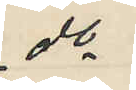do
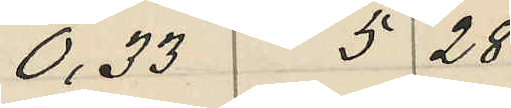0,33 5 28
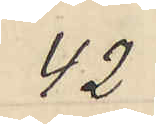42
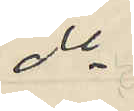do
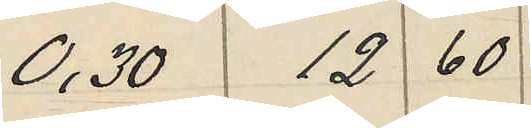0,30 12 60
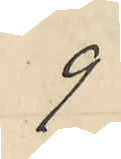9
